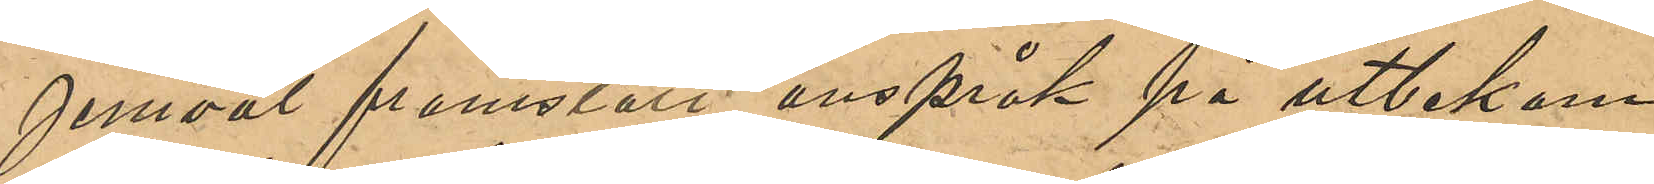jemväl framställt anspråk på utbekom¬
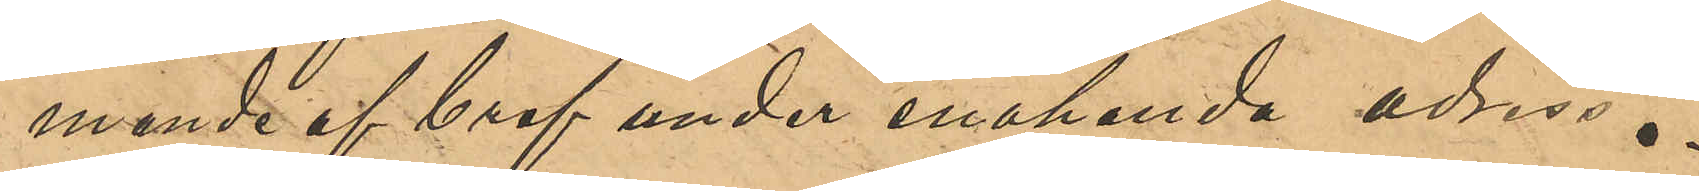mande bref under enahanda adress.
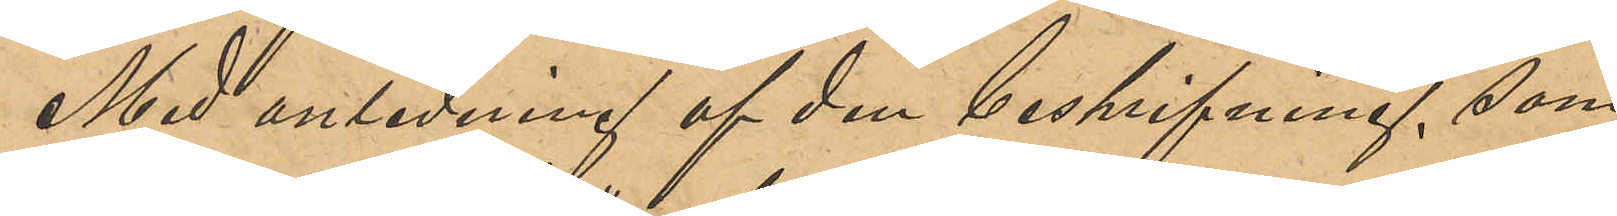med anledning af den beskrifning, som
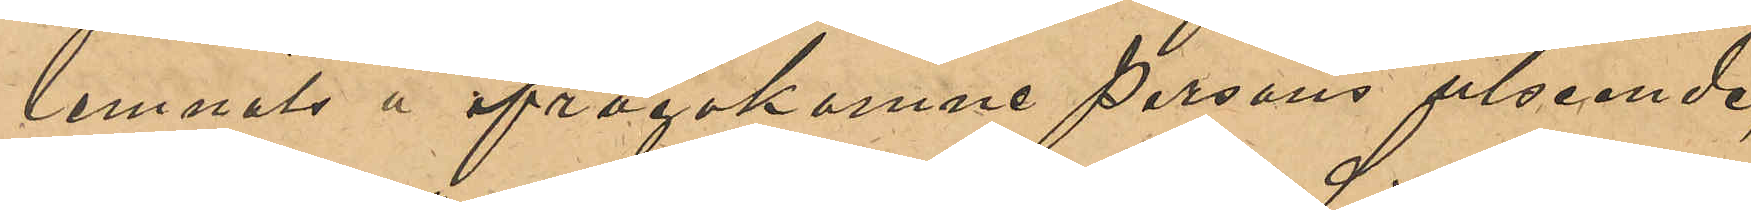lemnats å ifrågakomne persons utseende,
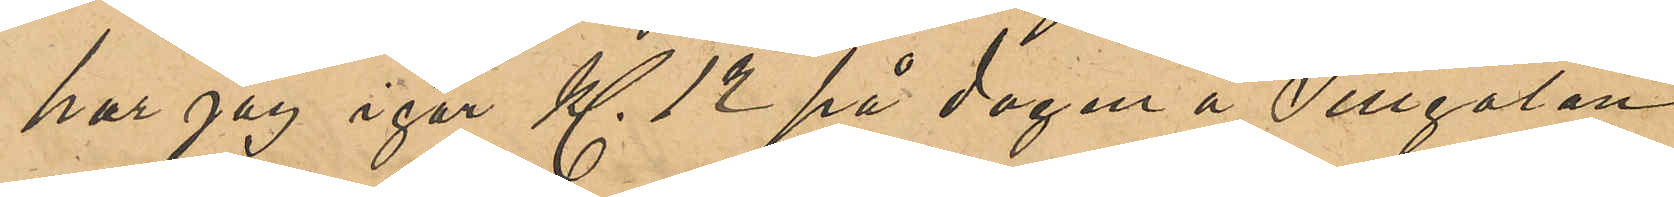har jag igår Kl 12 på dagen å Sillgatan
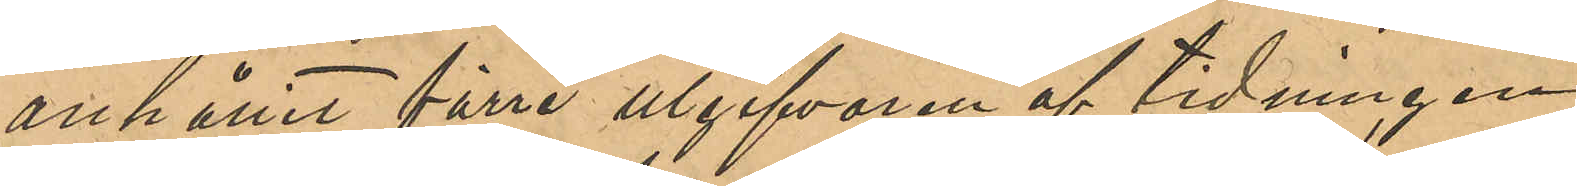anhållit förre utgifvaren af tidningen
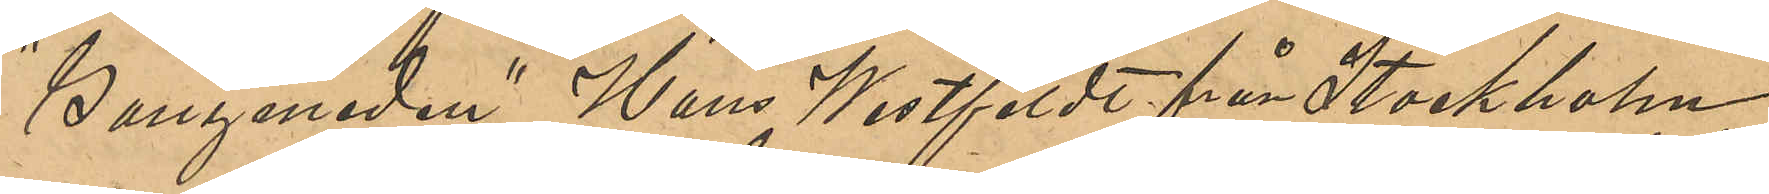"Ganymeden" Hans Westfeldt från Stockholm,
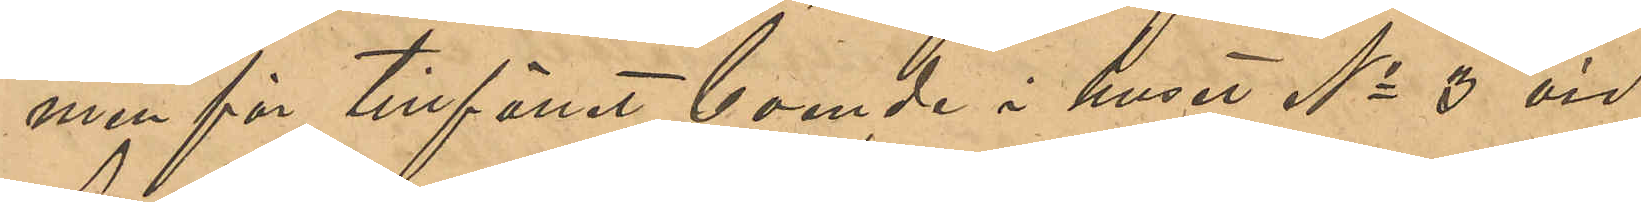men för tillfället boende i huset No 3 vid
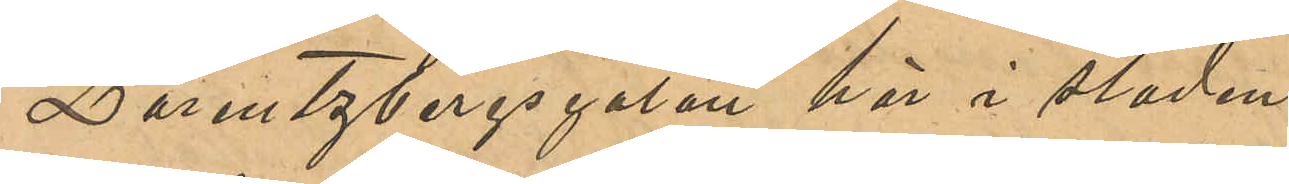Lorentzbergsgatan här i staden.
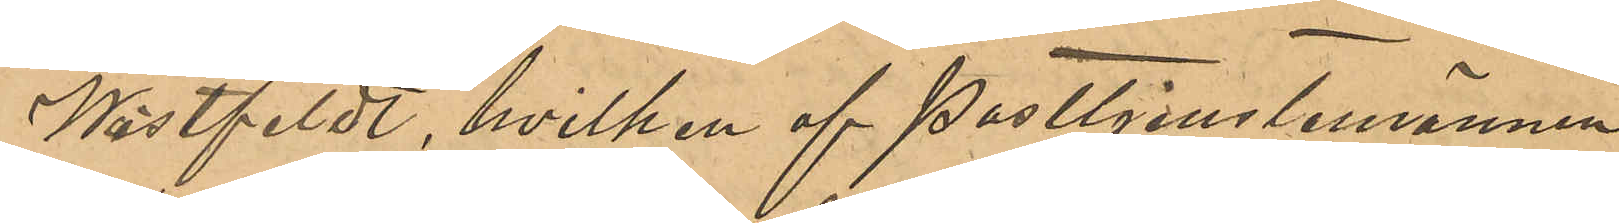Wästfeldt, hvilken af Posttjenstemännen
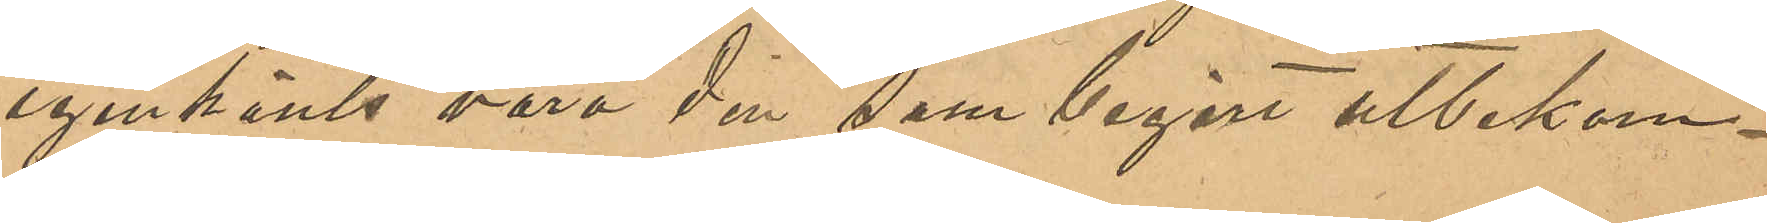igenkänts vara den som begärt utbekom¬
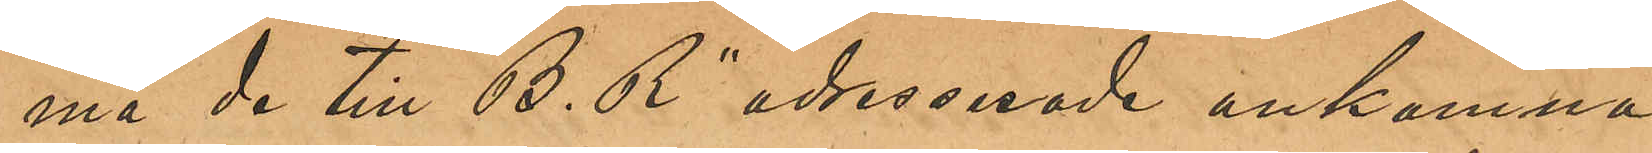ma de till "B. R" adresserade ankomna
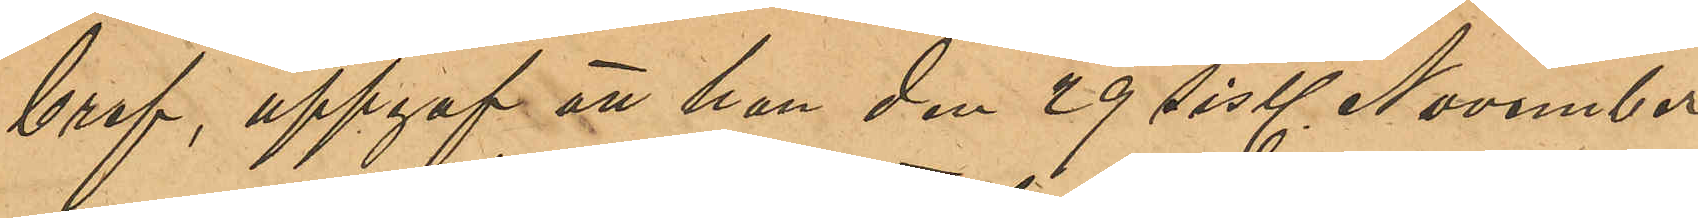bref, uppgaf att han den 29 sistl November
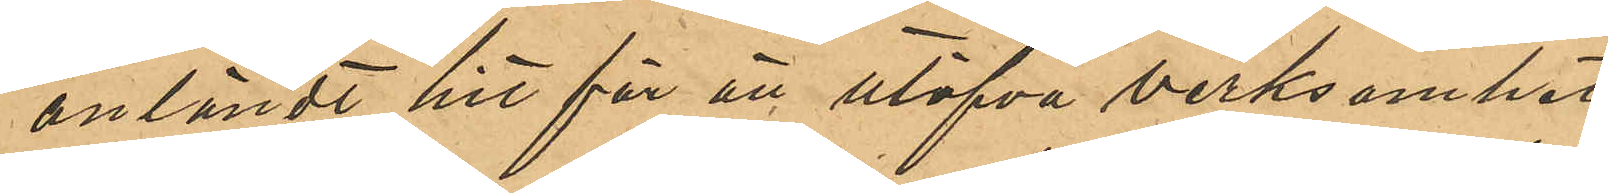anländt hit för att utöfva verksamhet
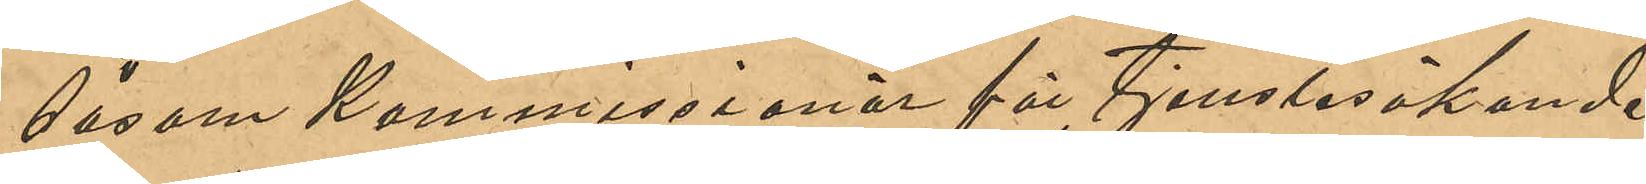såsom Kommisionär för tjenstesökande;
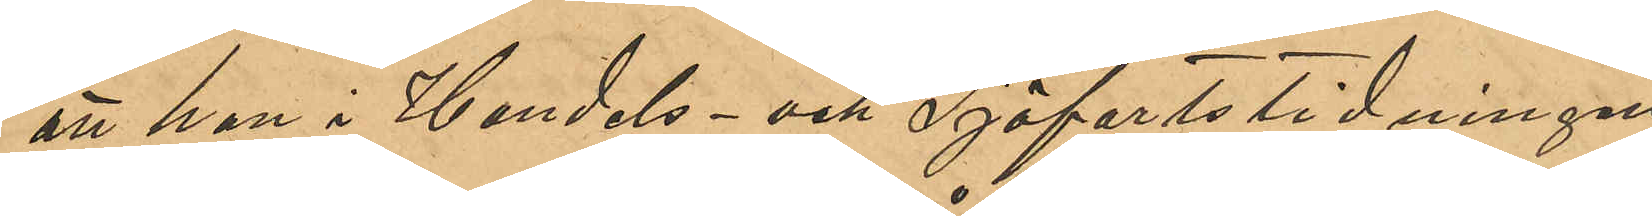att han i Handels- och Sjöfartstidningen
